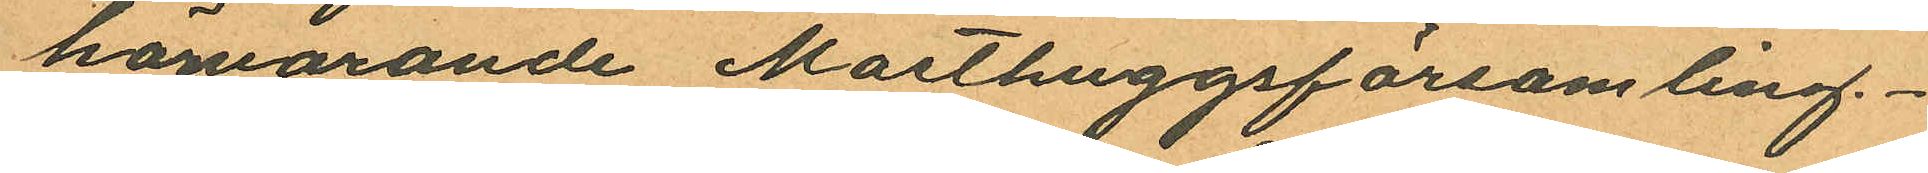härvarande Masthuggsförsamling.
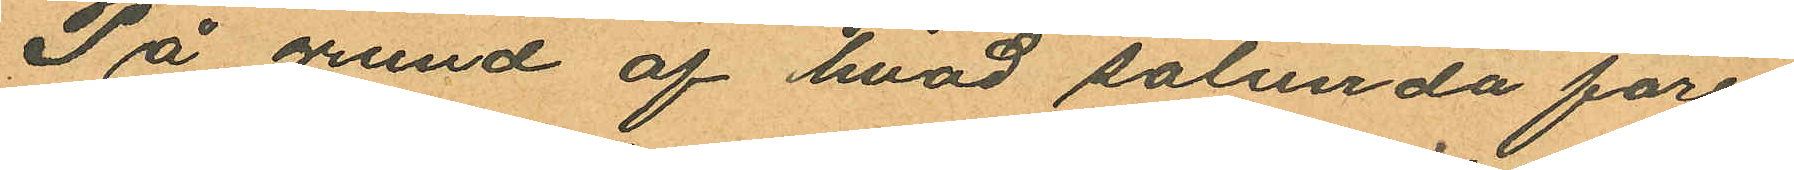På grund af hvad sålunda före¬
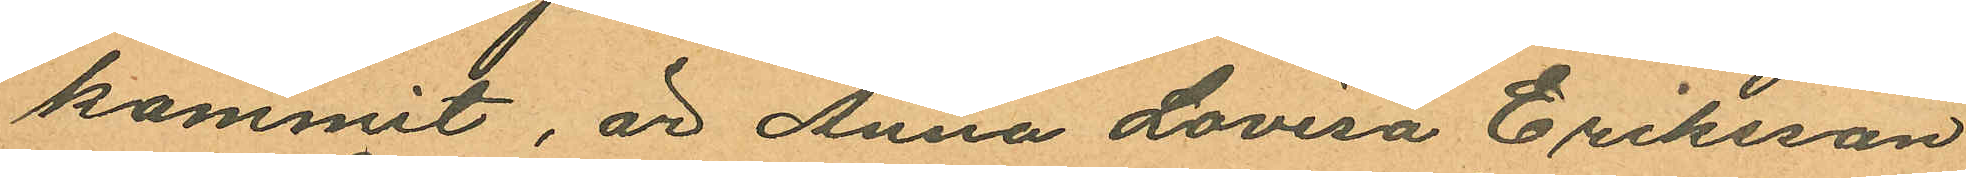kommit, är Anna Lovisa Eriksson
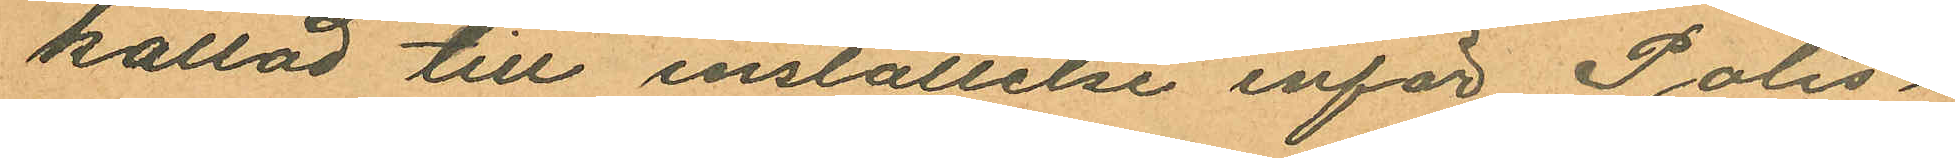kallad till inställelse inför Polis¬
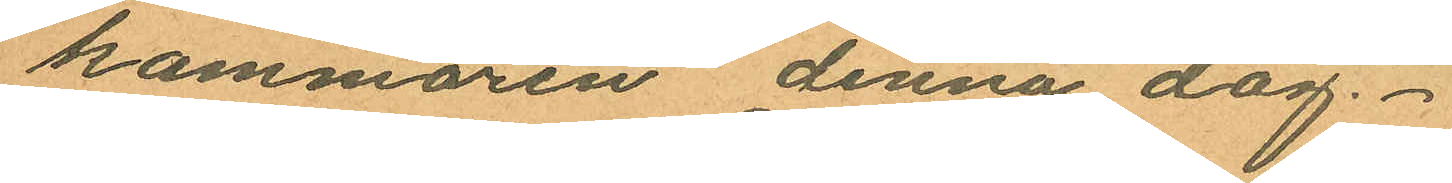kammaren denna dag.
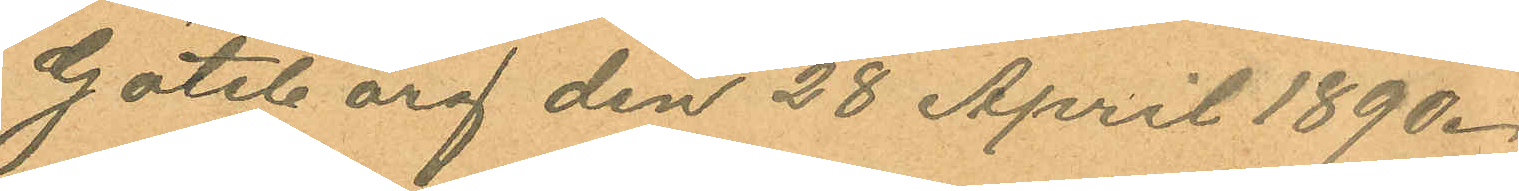Göteborg den 28 April 1890.
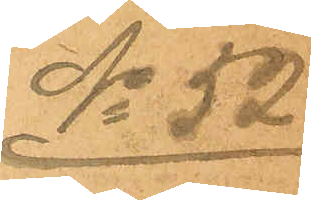No 52
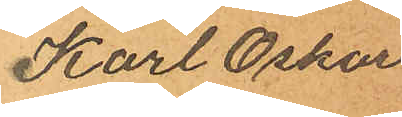Karl Oskar
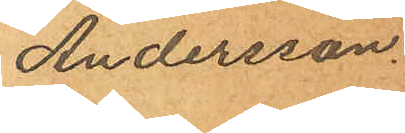Andersson.
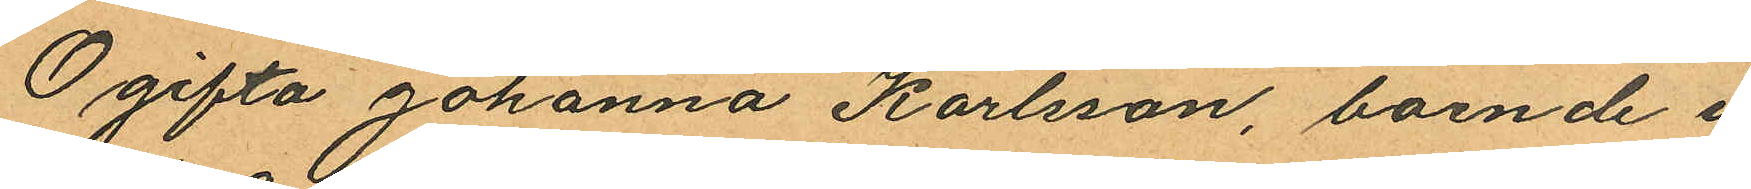Ogifta Johanna Karlsson, boende i
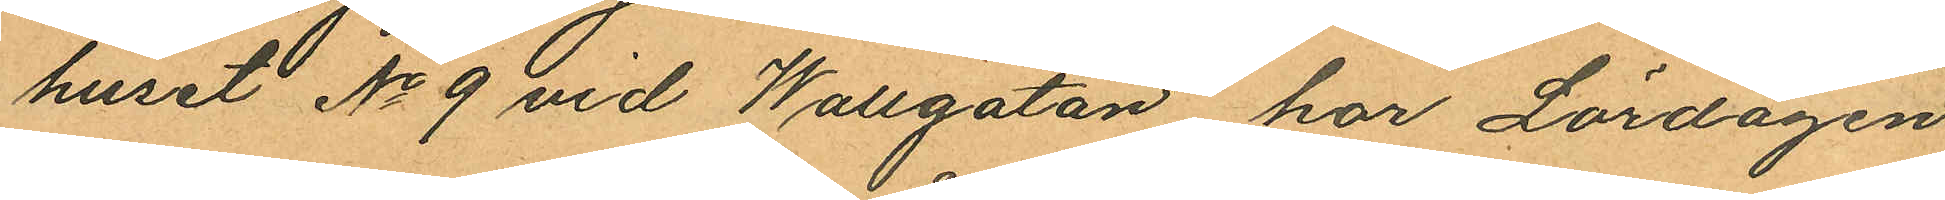huset No 9 vid Wallgatan har Lördagen
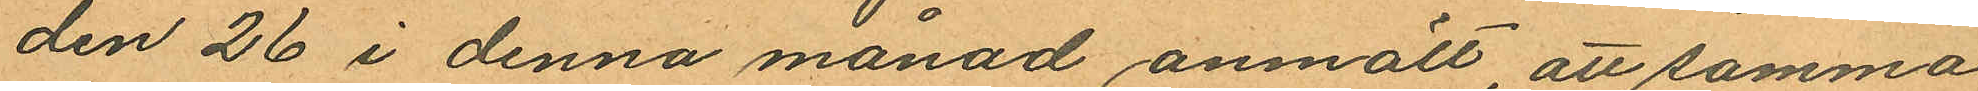den 26 i denna månad anmält, att samma
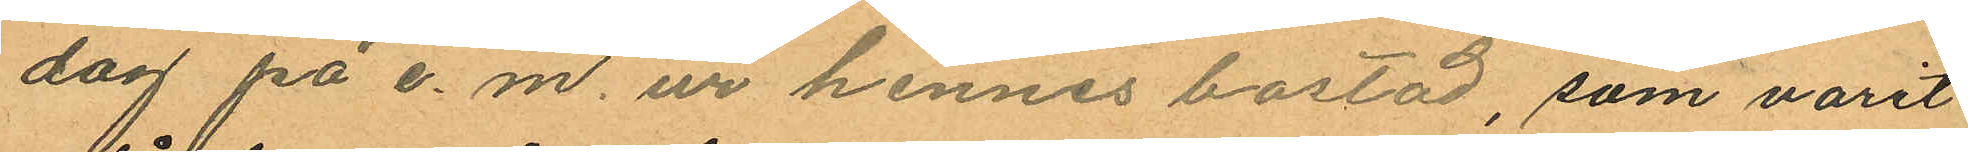dag på e. m. ur hennes bostad, som varit
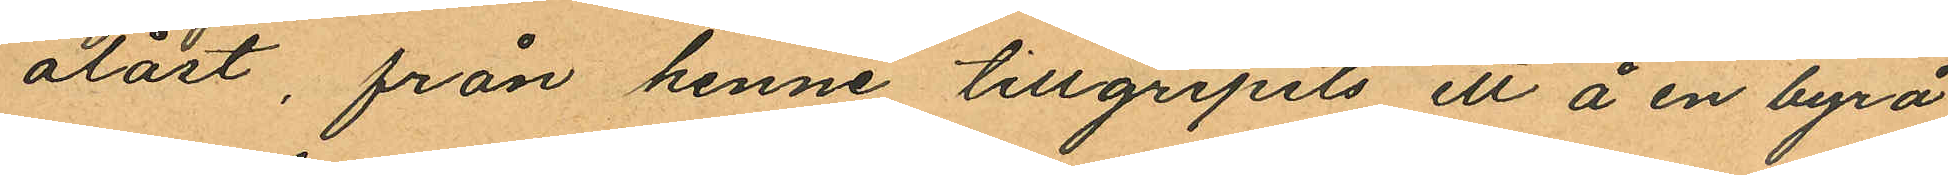olåst, från henne tillgripits ett å en byrå
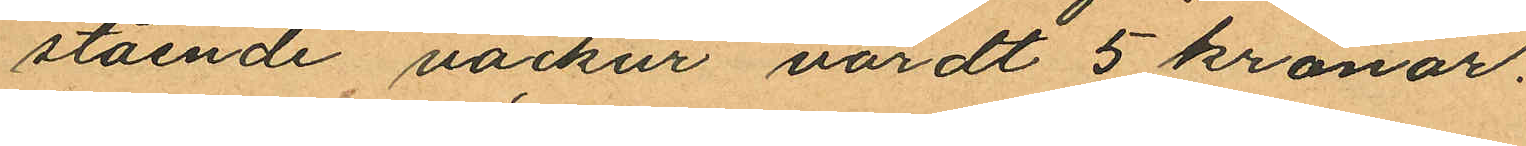stående väckur värdt 5 kronor.
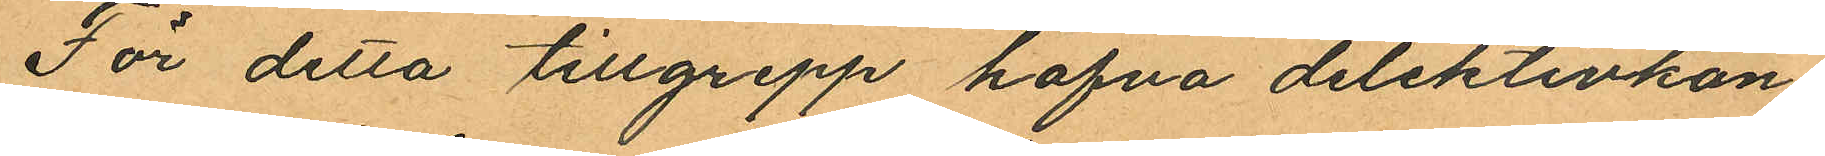För detta tillgrepp hafva detektivkon¬
